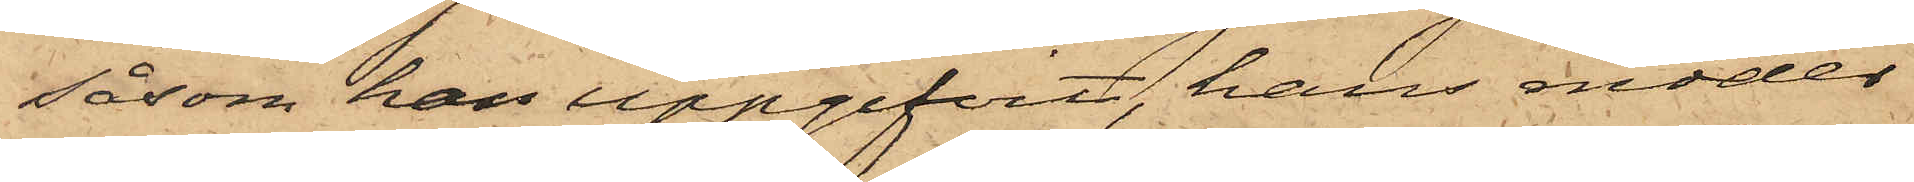såsom han uppgifvit, hans moder
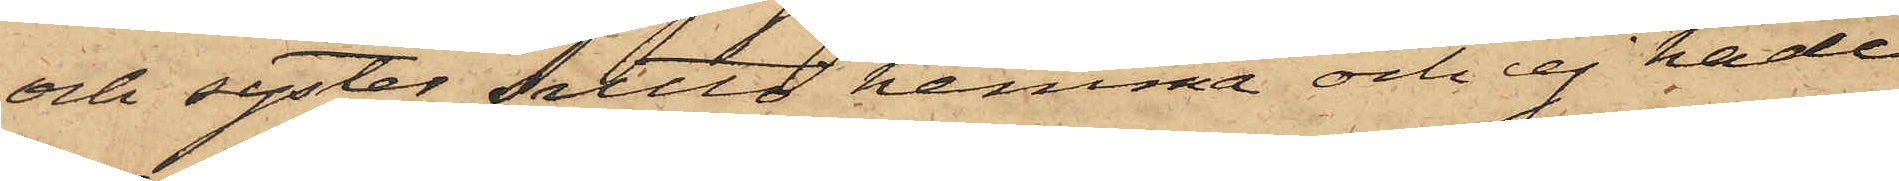och syster sutto hemma och ej hade
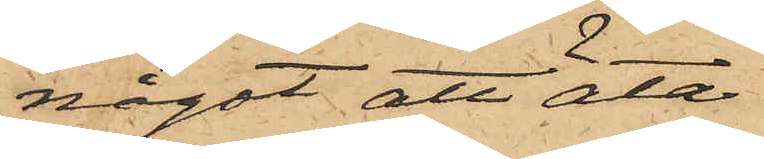något att äta.
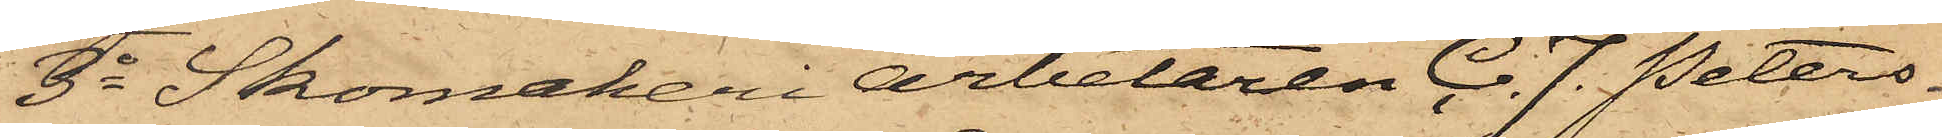3o Skomakeriarbetaren C. J. Peters¬
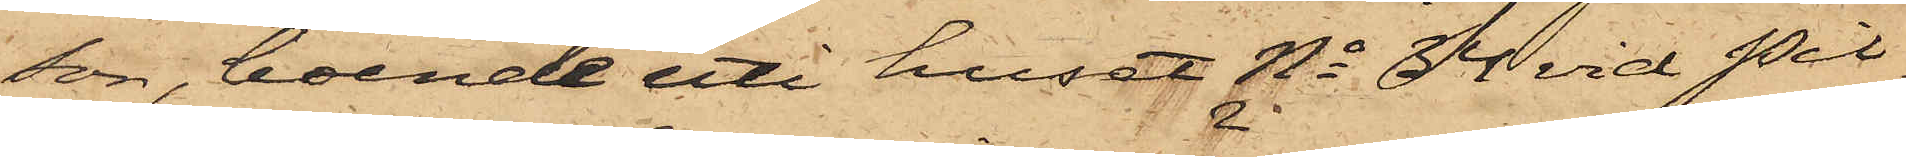son, boende uti huset No 34 vid Pil¬
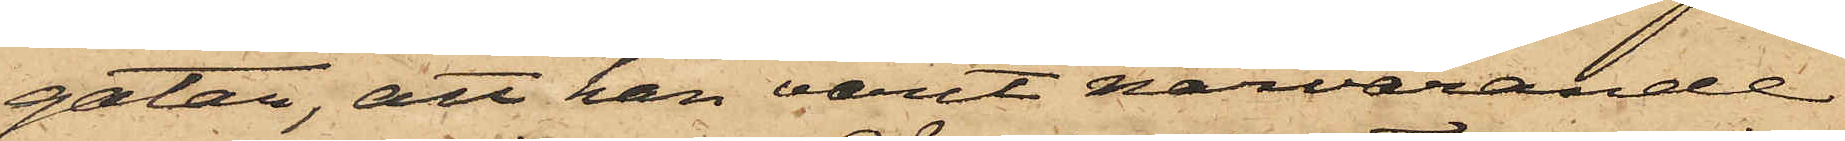gatan, att han varit närvarande
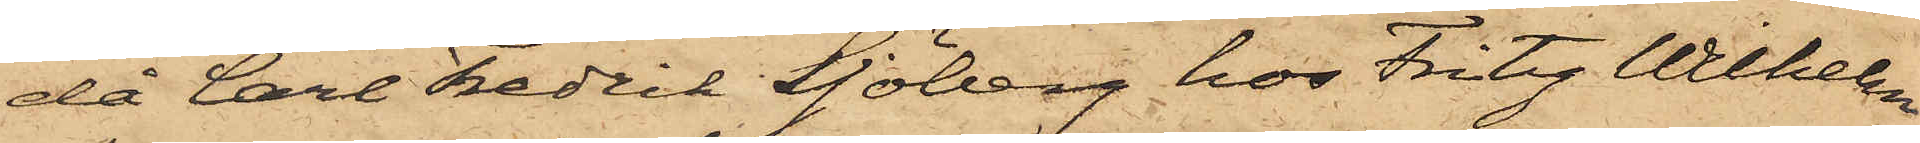då Carl Fredrik Sjöberg hos Fritz Wilhelm
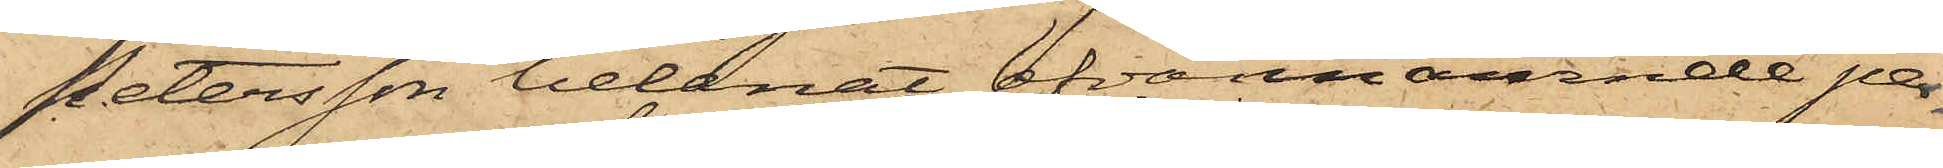Petersson belånat ofvannämnde per¬
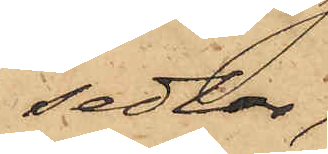sedlar,
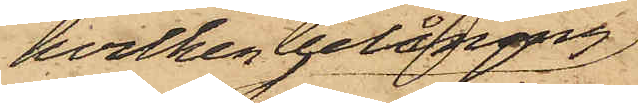hvilken belåning
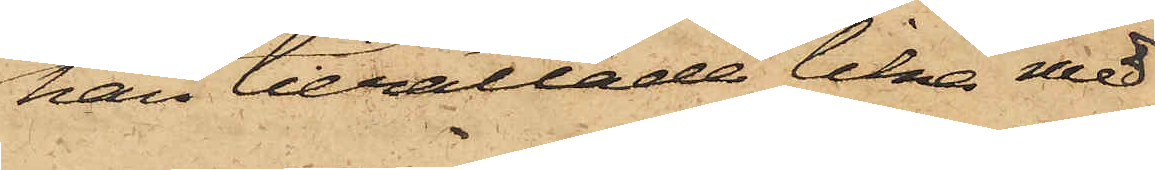han berättade lika med
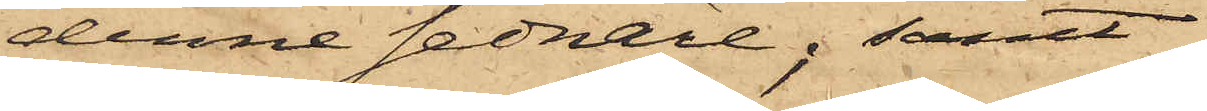denne sednare; samt
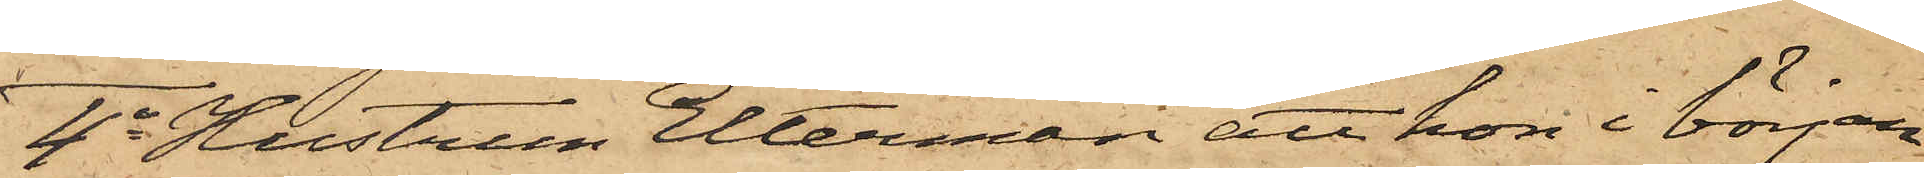4o Hustrun Elterman att hon i början
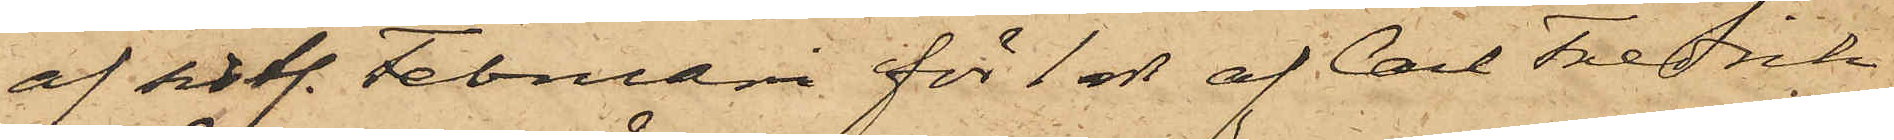af sistl. Februari för 1 rdr af Carl Fredrik
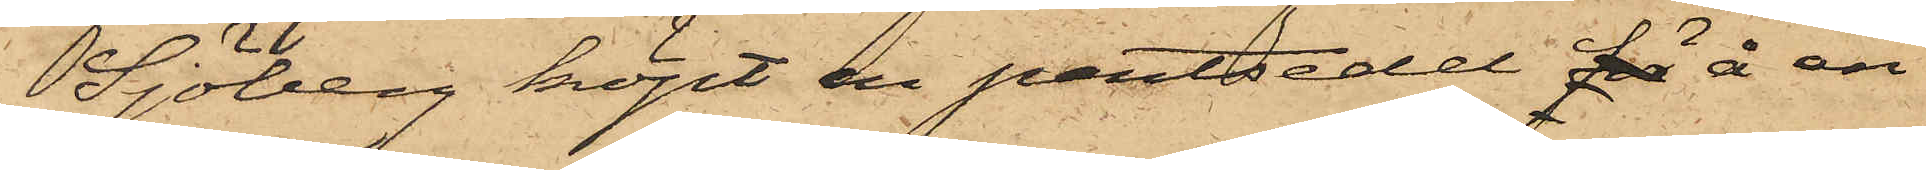Sjöberg köpt en pantsedel för å en
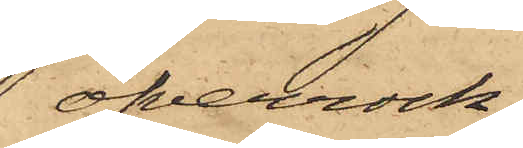öfverrock,
